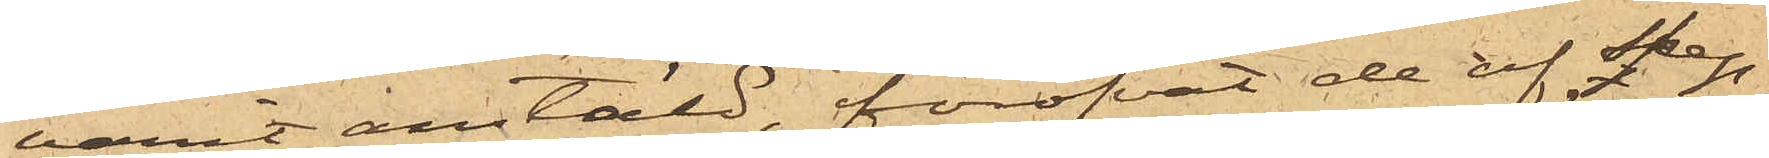varit anstäld, föröfvat de af skep¬
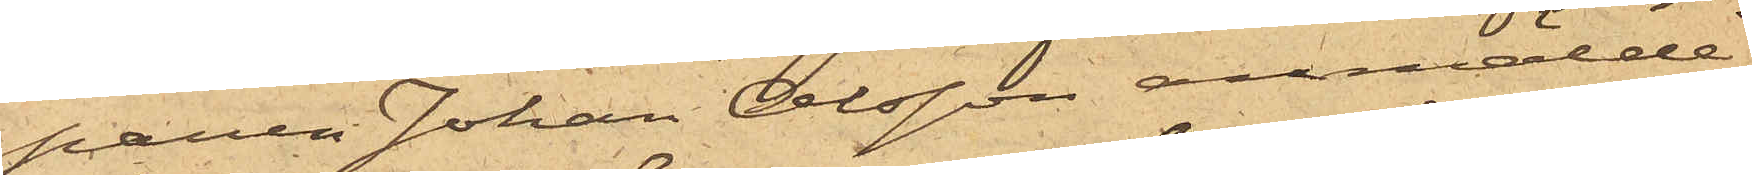paren Johan Olsson anmälde
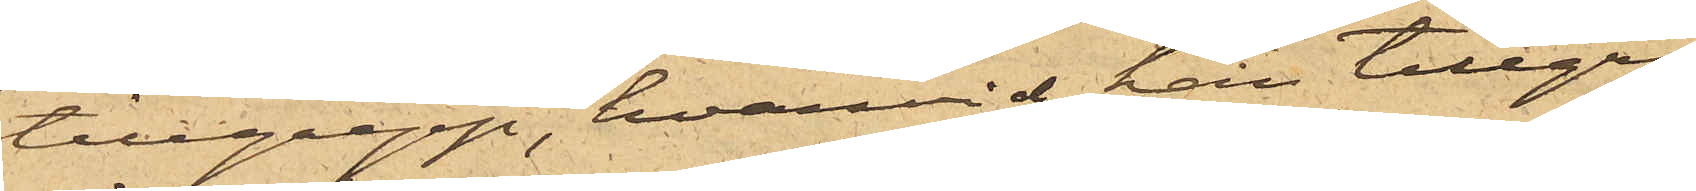tillgrepp, hvarvid han tillgri¬
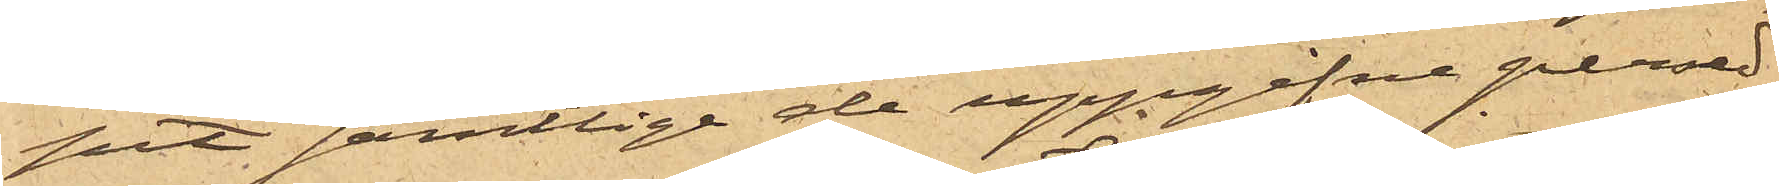pit samtlige de uppgifne persed¬
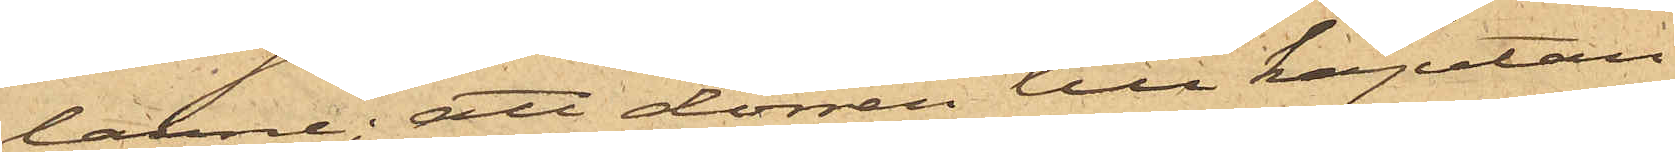larne; att dörren till kajutan
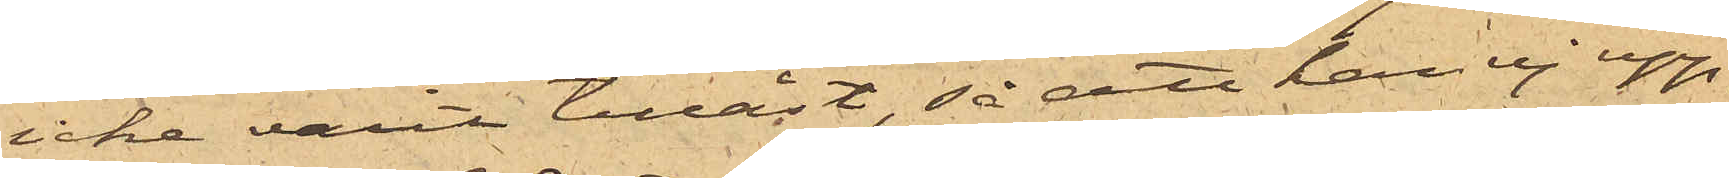icke varit tillåst, så att han ej upp¬
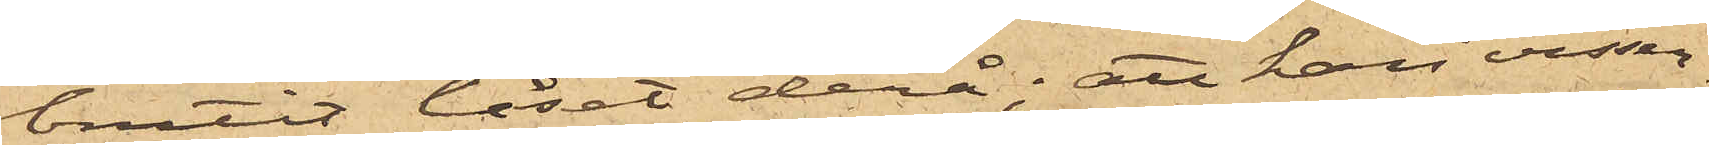brutit låset derå; att han visser¬
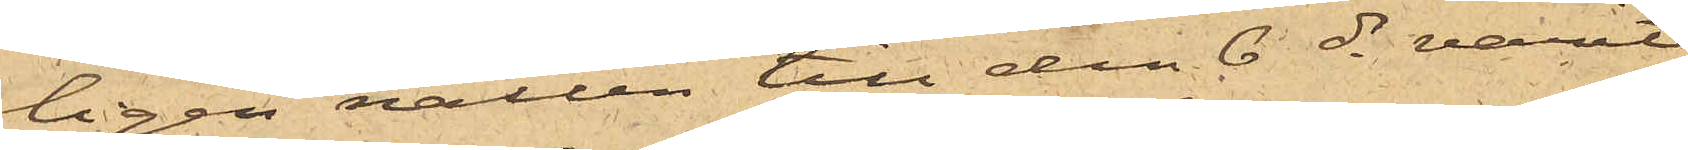ligen natten till den 6 ds varit
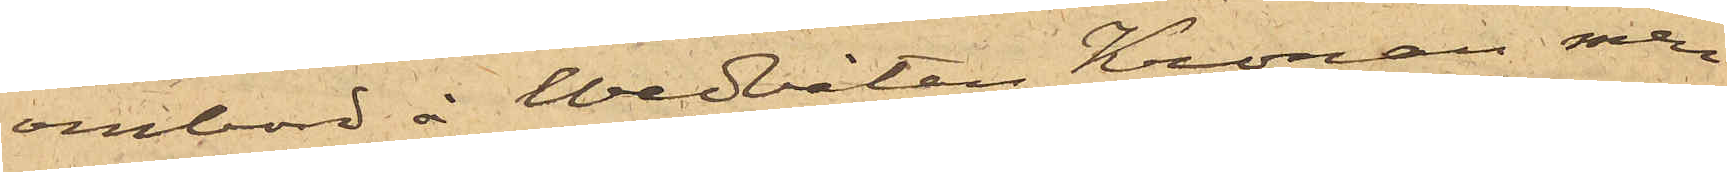ombord å Wedbåten Kronan men
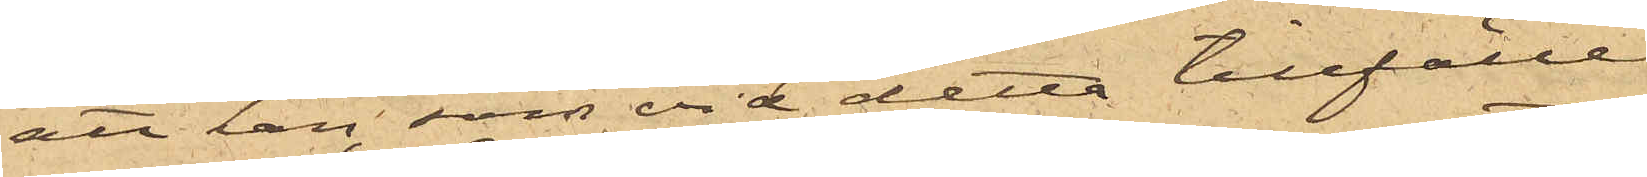att han, som vid detta tillfälle
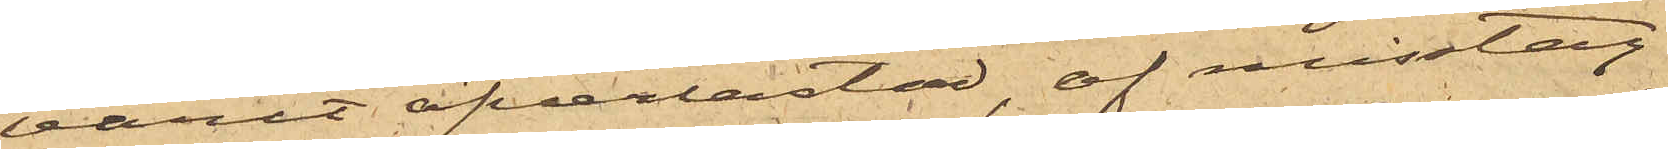varit öfverlastad, af misstag
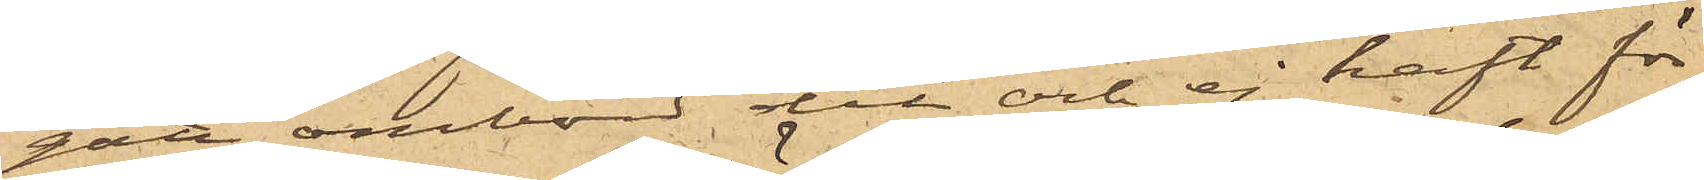gått ombord dit och ej haft för
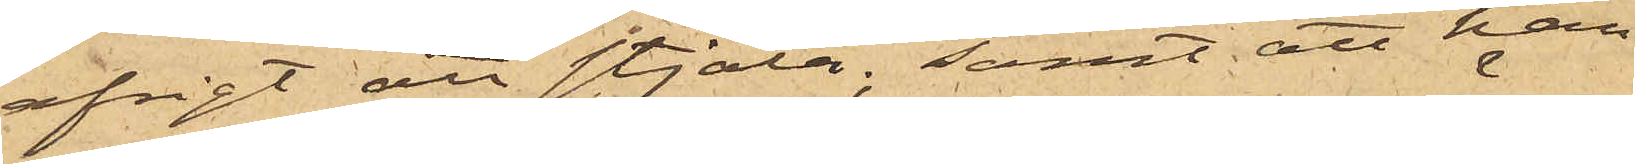afsigt att stjäla; samt att han
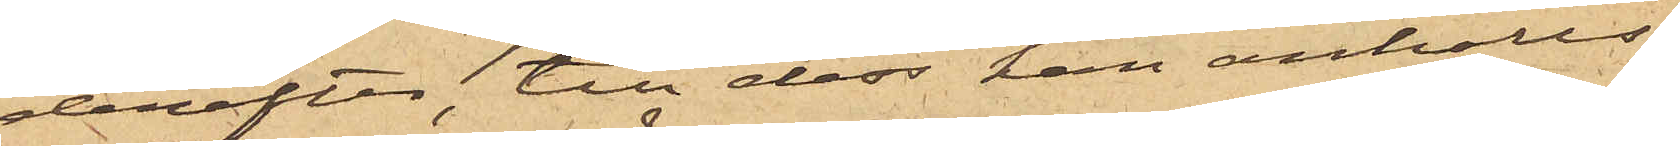derefter, till dess han anhölls,
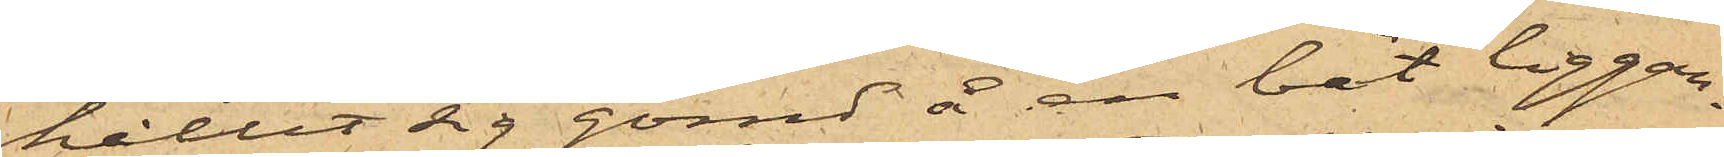hållit sig gömd å en båt liggan¬
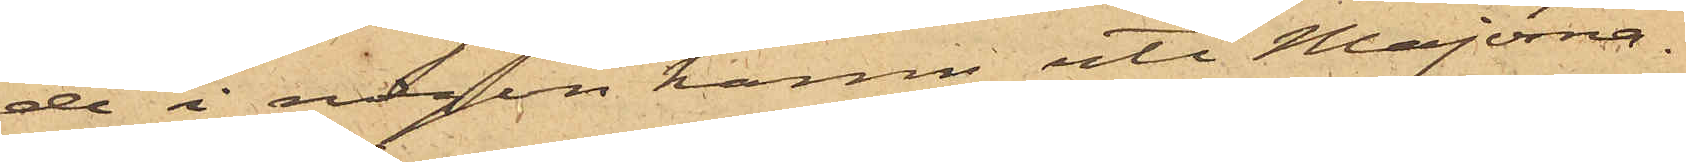de i någon hamn uti Majorna.
